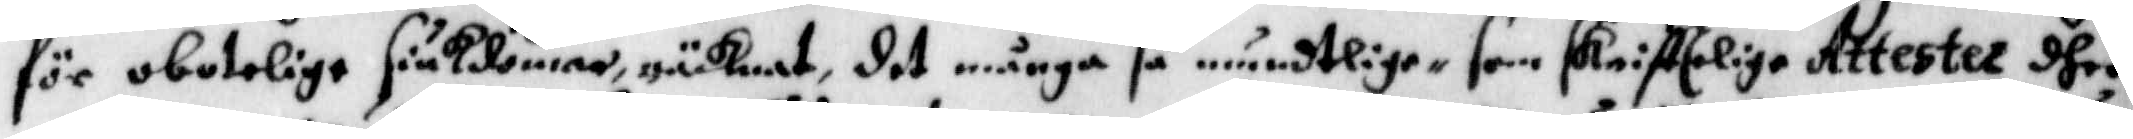för obotelige siukdomar, räcknat, det många så muntelige som skrifttelige Attester dher¬
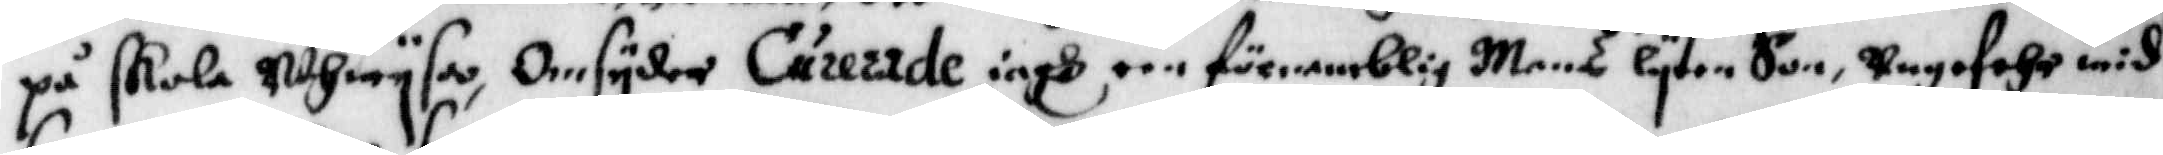på skola uthwysa, Omsyder Curerede iagh een förnemblig Mans lyten Son, ungefehr wid
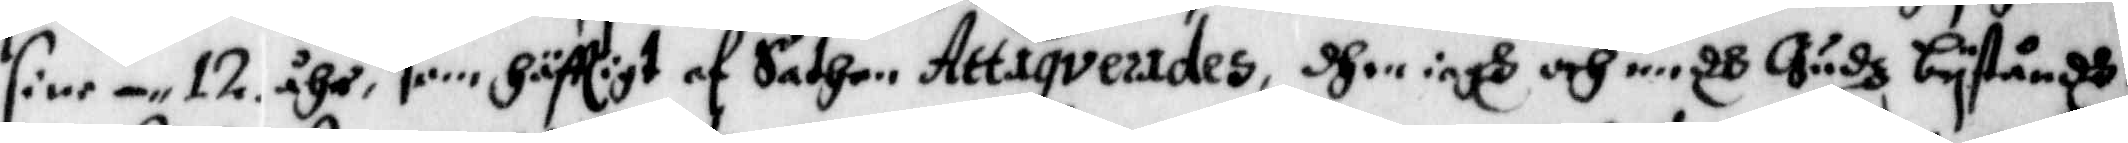sine 12 åhr, som häfttigt af Sathan Attaqverades, dhen iagh och medh Gudz byståndh
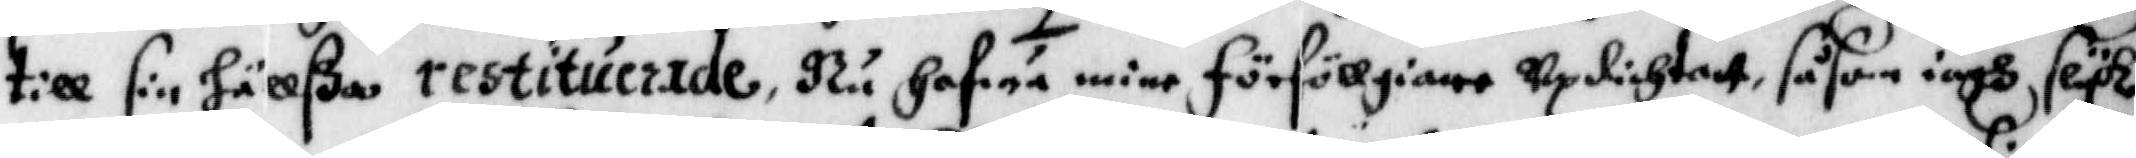till sin hällßa restituerade, Nu hafwa mine förföllgiare updichtatt, såsom iagh slyk
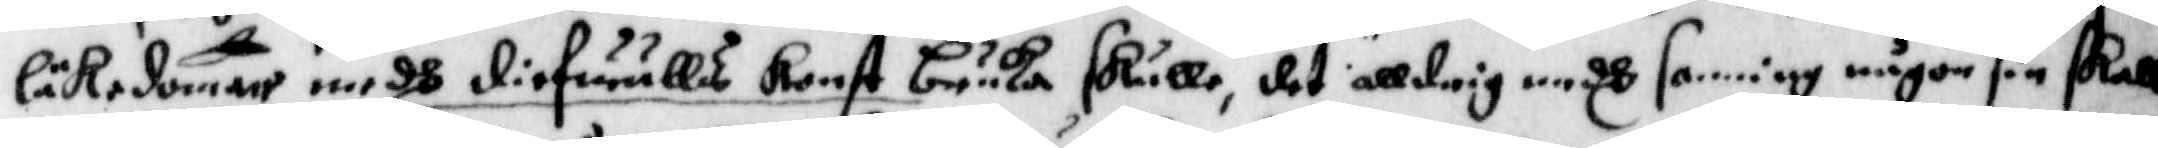läkedomen medh diefuulls konst bruka skulle, det alldrig medh sanning någon sin skall
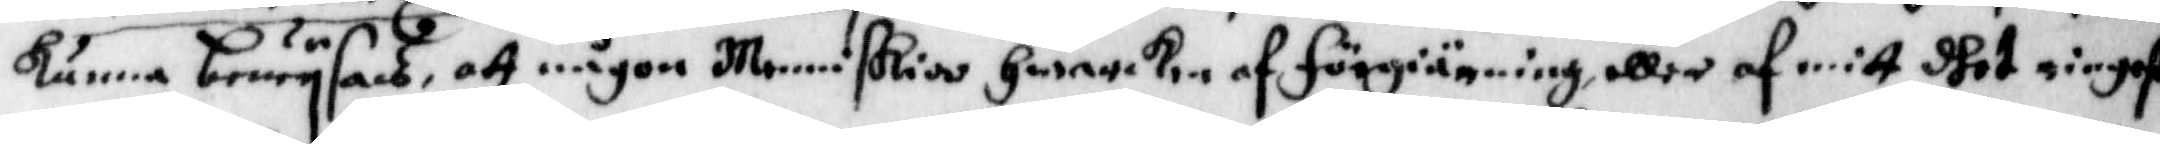kunna bewysas, att någon Menniskior hwarken af förgiärning, eller af mitt dhet ringaste
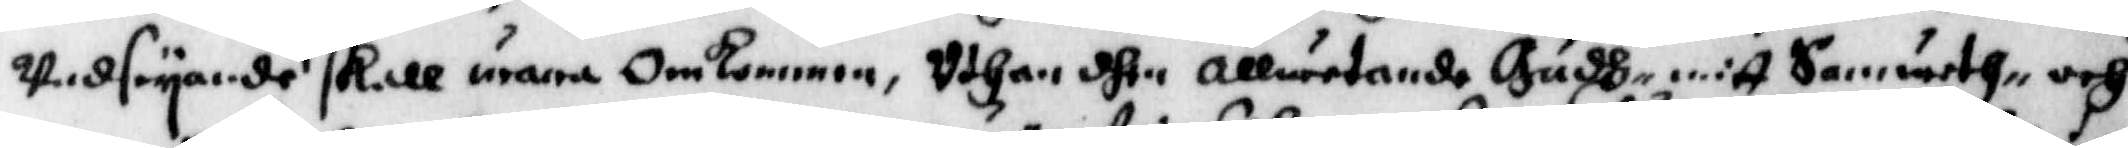undseyande skall wara Omkommen, uthan dhen Allwetande Gudh mitt Samweth och
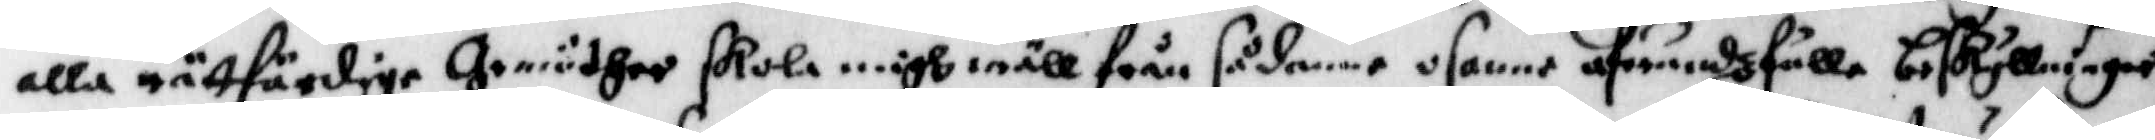alla rättfärdige Grundher skola migh wäll från sådane osanne afwundzfulla beskyllningar
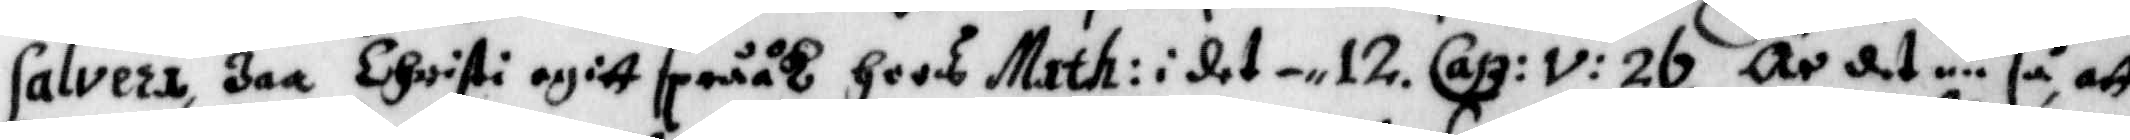Salvera, Jaa Christi egitt språåk hoos Math: i det - 12. Cap: V: 26. Är det nu så, att
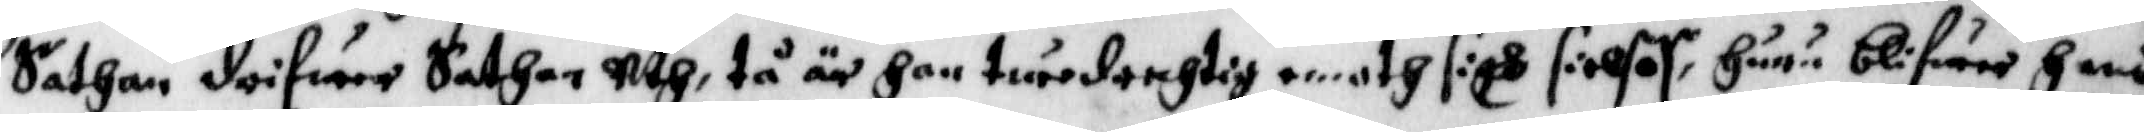Sathan drifwer Sathan uth, tå är han twedrehtig emoth sigh sielfof, huru blifwer hans
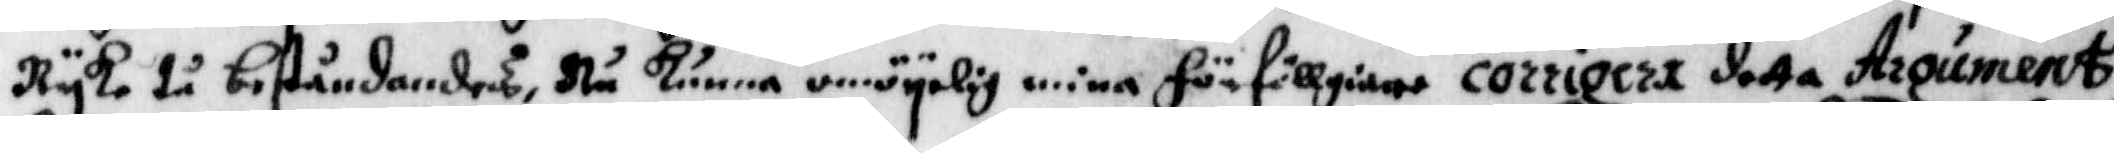Ryke tå beståendes, Nu kunna omöylig mina förföllgiare corrigera detta Arqument
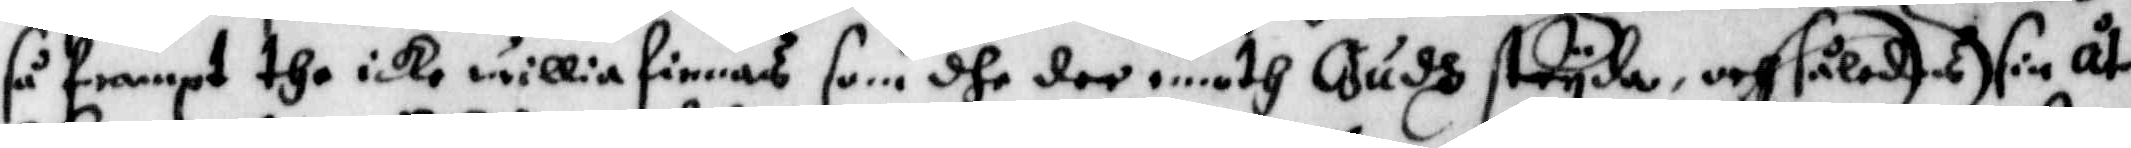så frampt the icke willia finnas som dhe der emoth Gudh stryda, och således sin åter¬
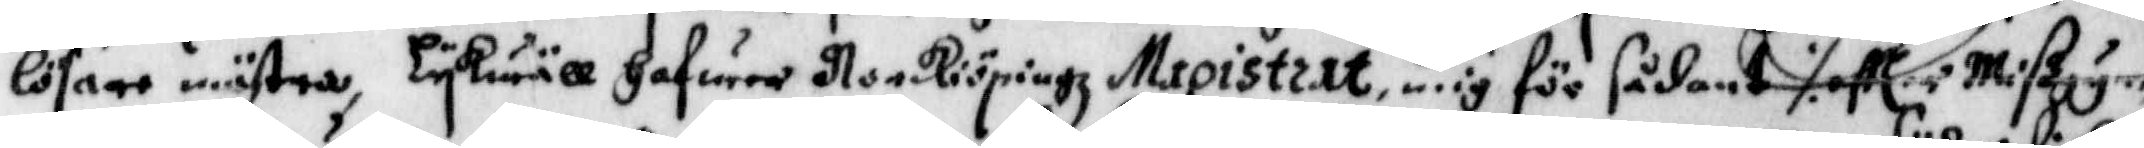losare mästra, Lykwäll hafwer Norkiöpingz Magistrat mig för sådant ./. eller Mißgynn¬
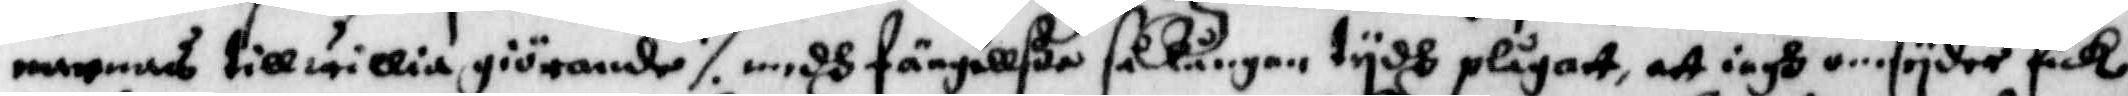narnas tillwillia giörande ./. medh fängellße så långan tydh plågat, att iagh omsyder fick
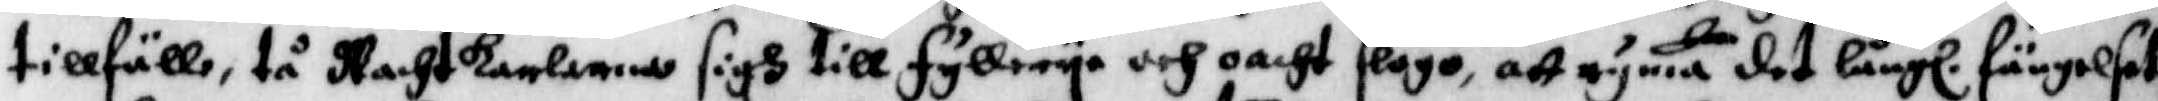tillfälle, tå Wachtkarlarna sigh till fyllerye och oacht slogo, att ryma det långl. fängelset
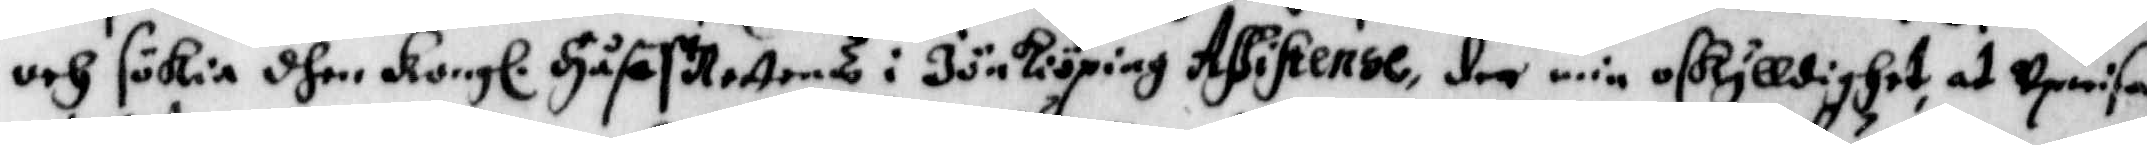och sökia dhen Kongl. Håff Rettens i Jönkiöping Assistense, der min oskylldighet, at upwisa
